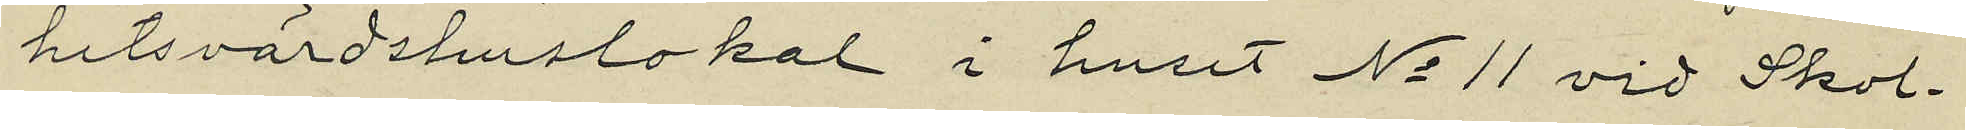hetsvärdshuslokal i huset No 11 vid Skol¬
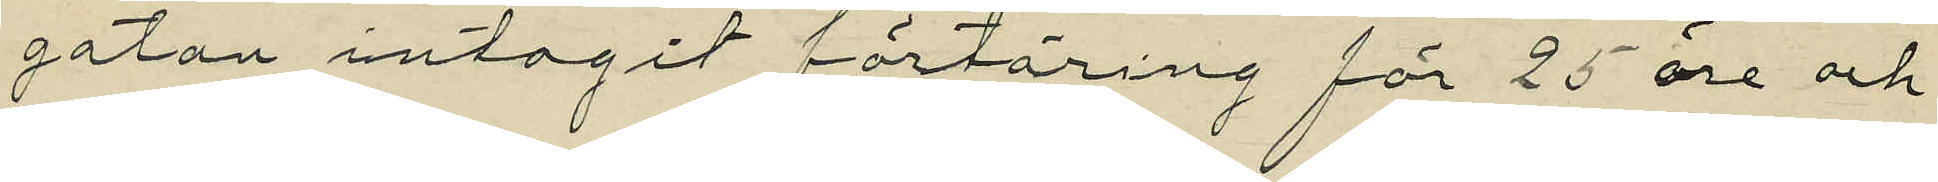gatan intagit förtäring för 25 öre och
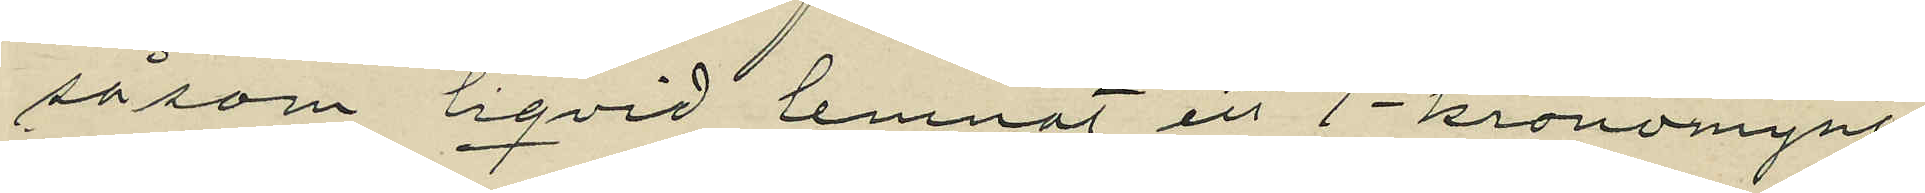såsom liqvid lemnat ett 1-kronomynt,
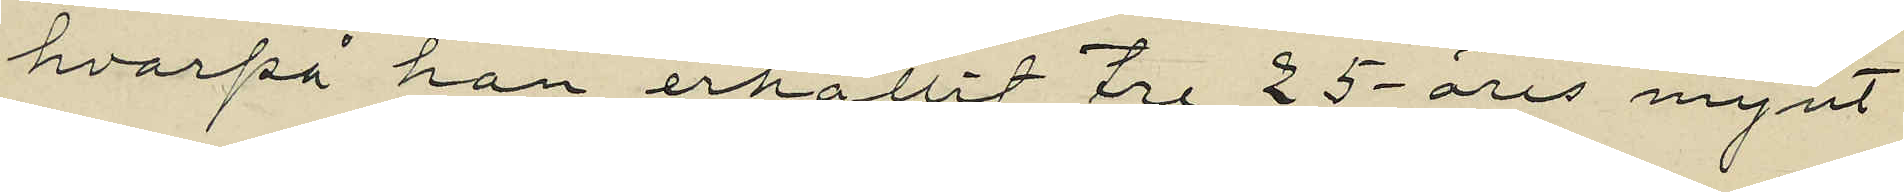hvarpå han erhållit tre 25-öres mynt
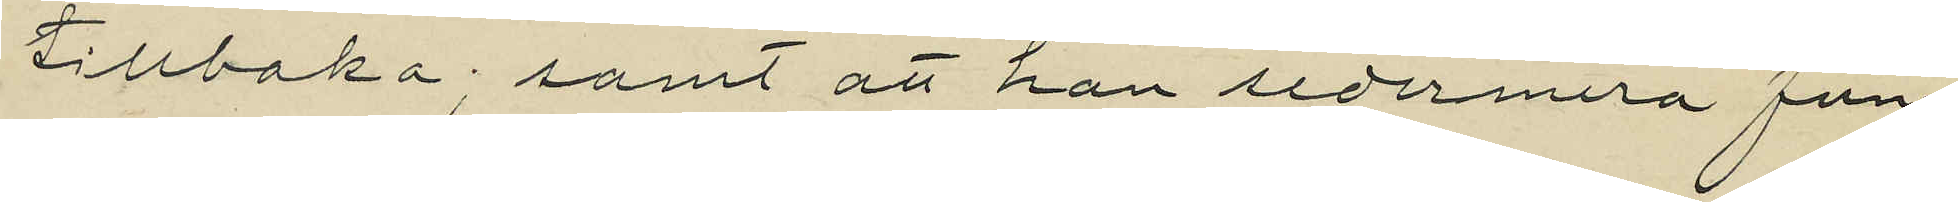tillbaka; samt att han sedermera fun¬
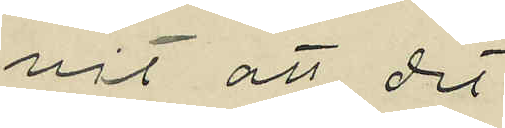nit att det
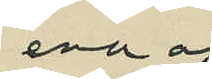ena af
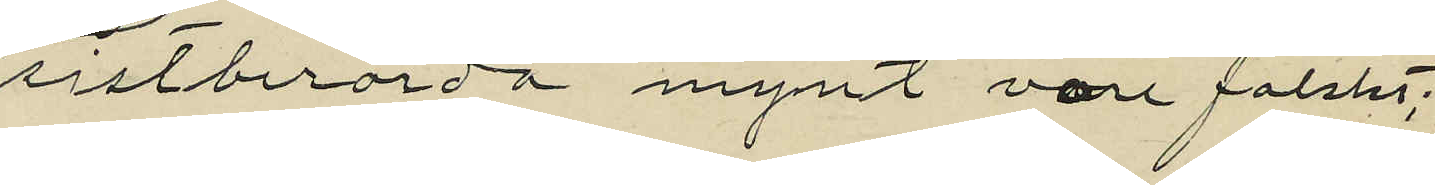sistberörda mynt vore falskt;
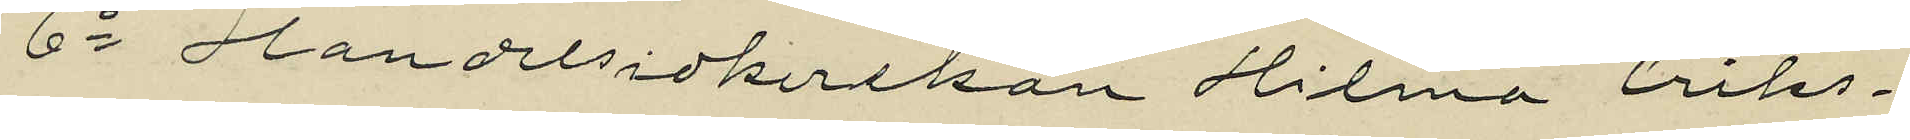6o Handelsidkerskan Hilma Eriks¬
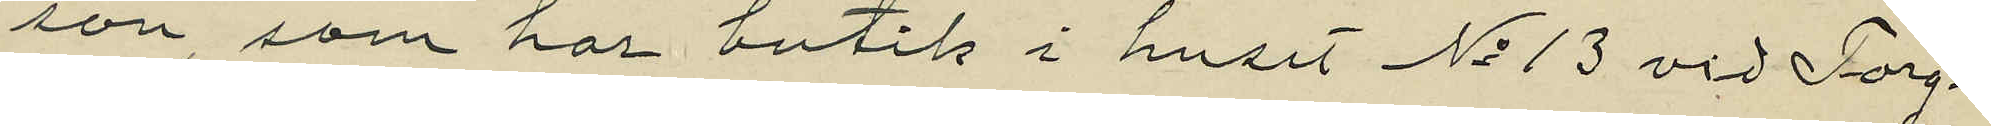son, som har butik i huset No 13 vid Torg¬
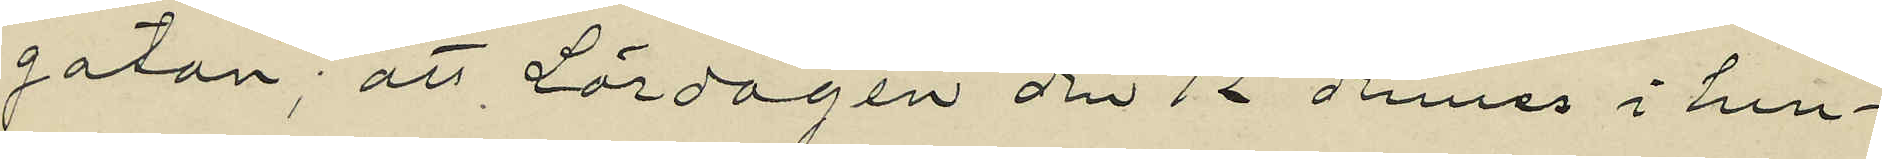gatan; att Lördagen den 12 dennes i hen¬
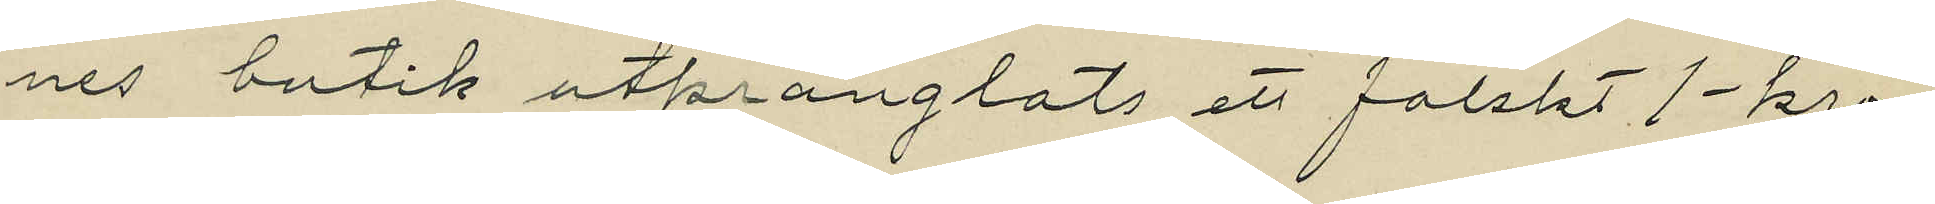nes butik utprånglats ett falskt 1 kro¬
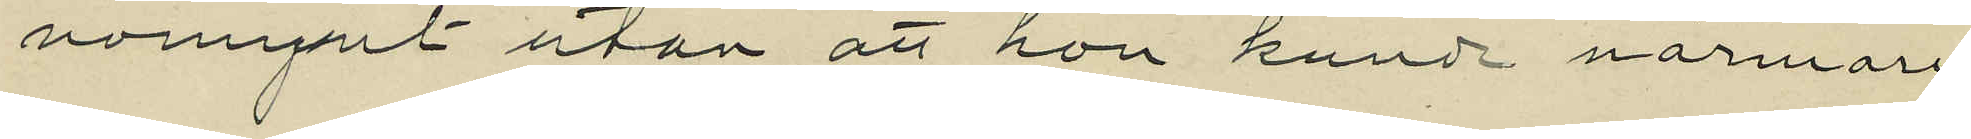nomynt utan att hon kunde närmare
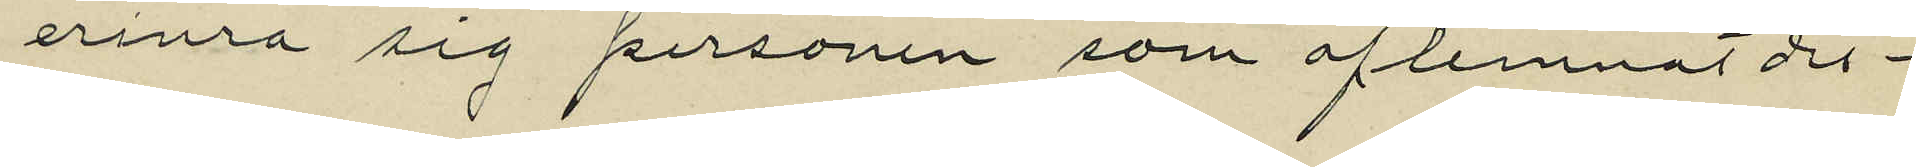erina sig personen som aflemnat det¬
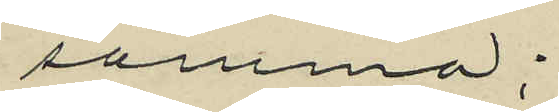samma;
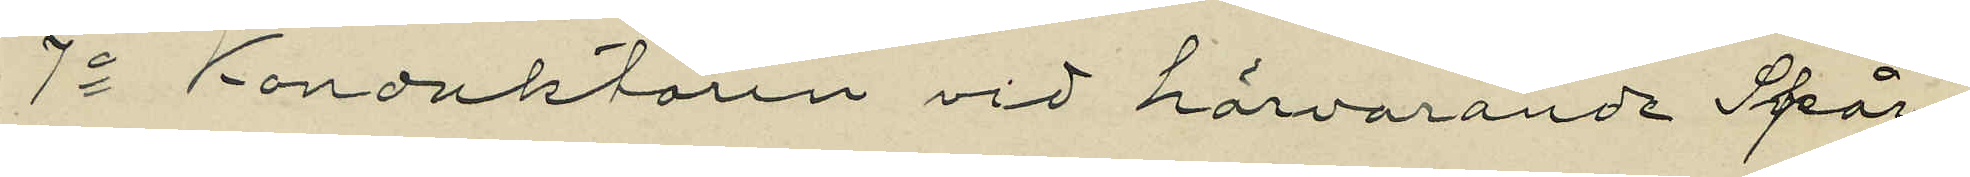7o Konduktören vid härvarande Spår¬
